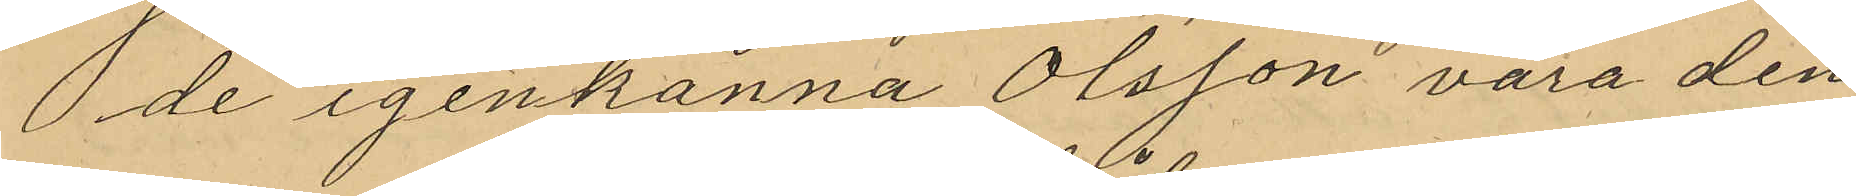de igenkänna Olsson vara den
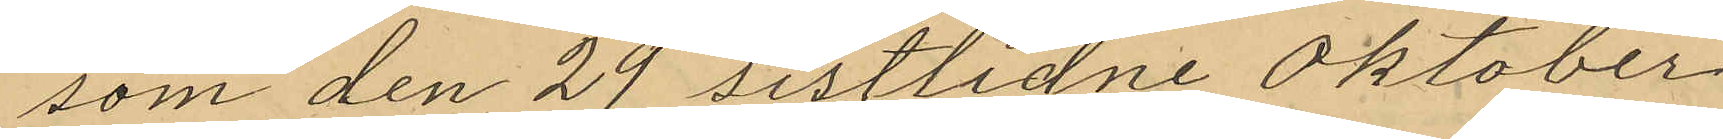som den 29 sistlidne Oktober
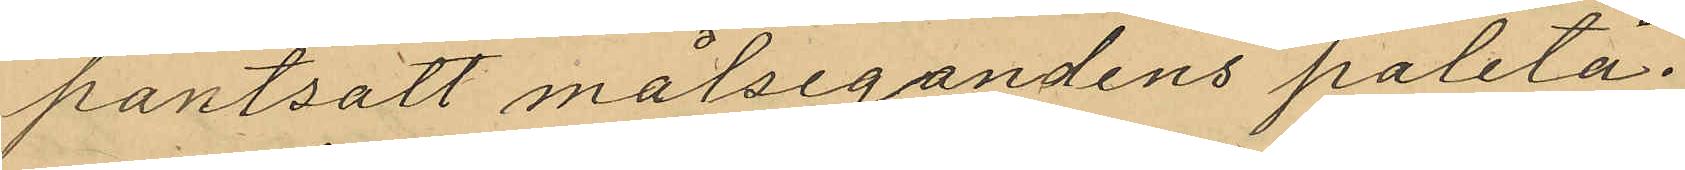pantsatt målsegandens paletå.
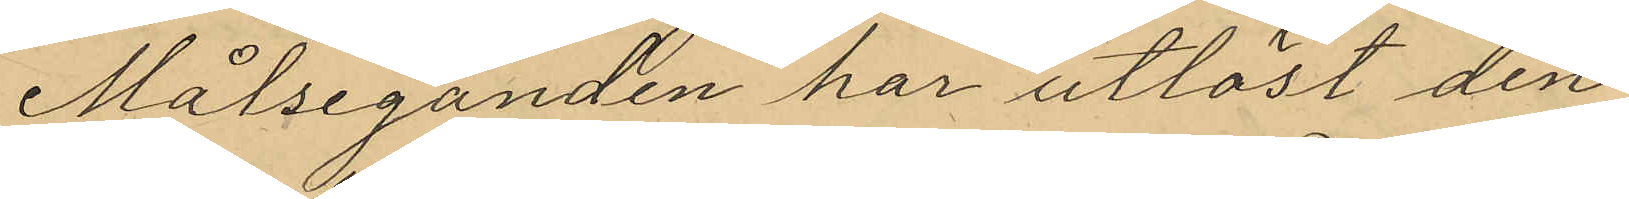Målseganden har utlöst den
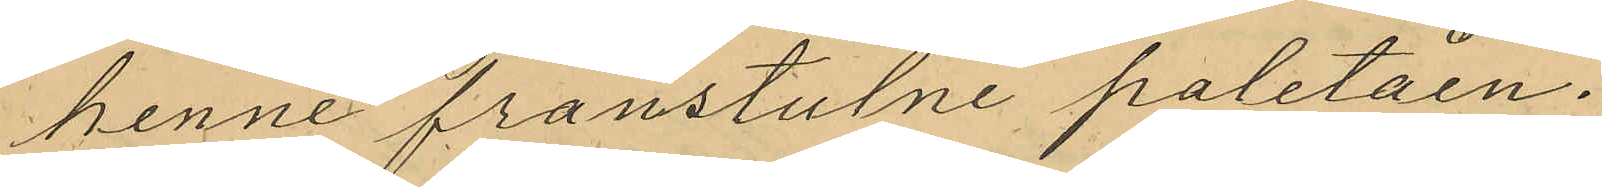henne frånstulne paletåen.
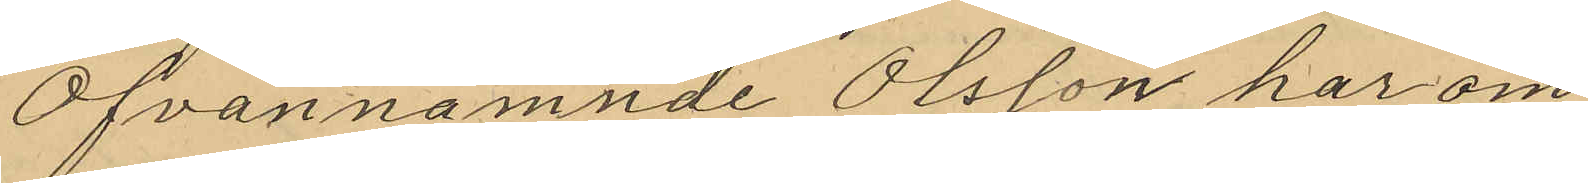Ofvannamnde Olsson har om
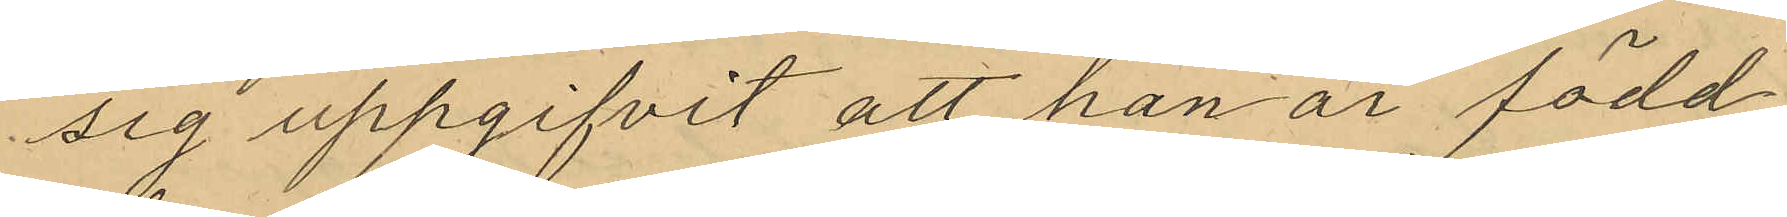sig uppgifvit att han är född
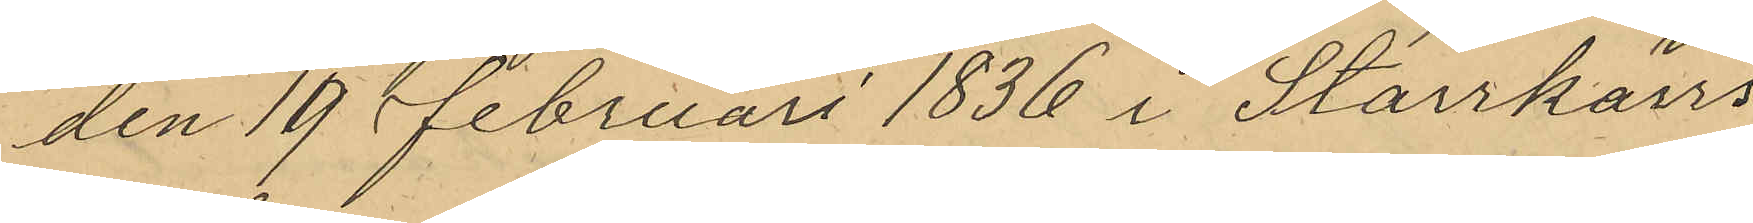den 19 Februari 1836 i Starrkärrs
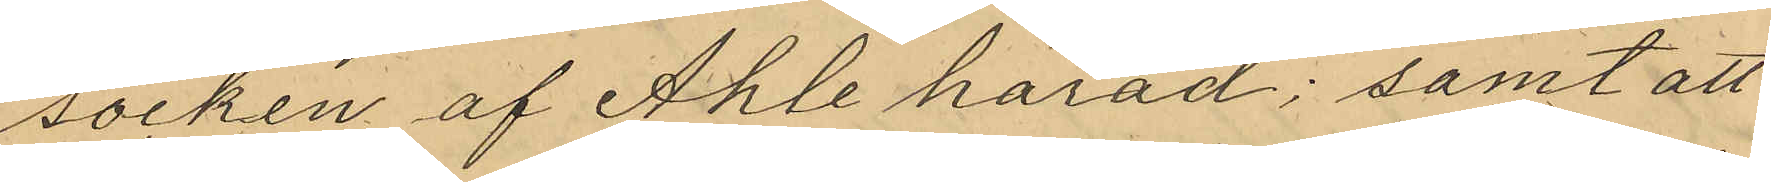socken af Ahle härad; samt att
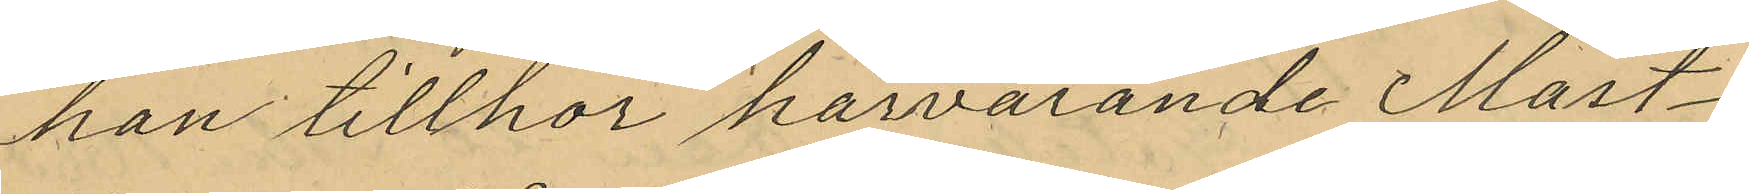han tillhör härvarande Mast¬
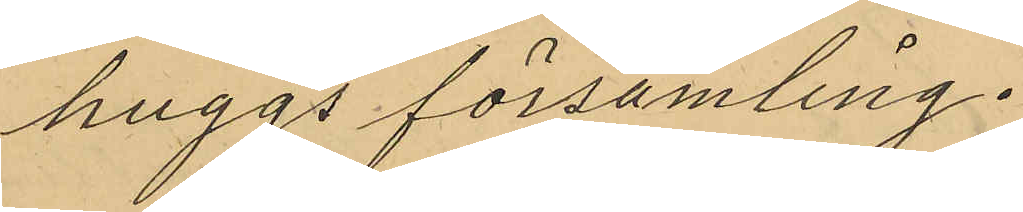huggs församling.
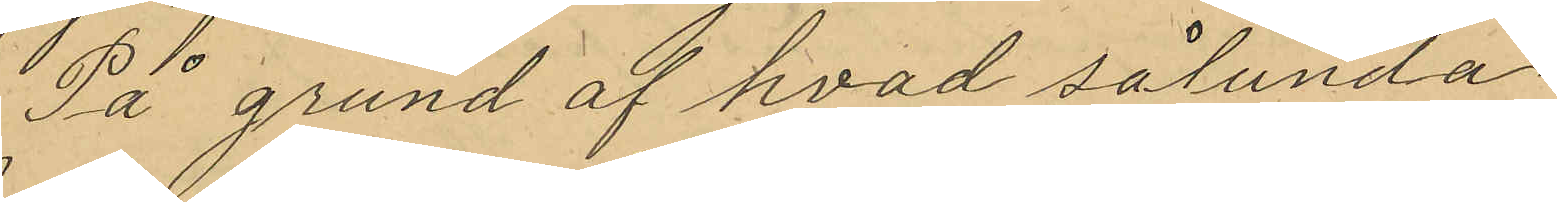På grund af hvad sålunda
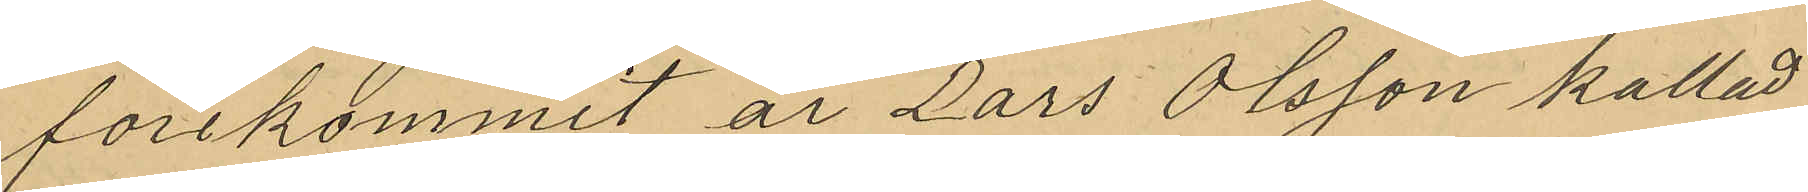förekommit är Lars Olsson kallad
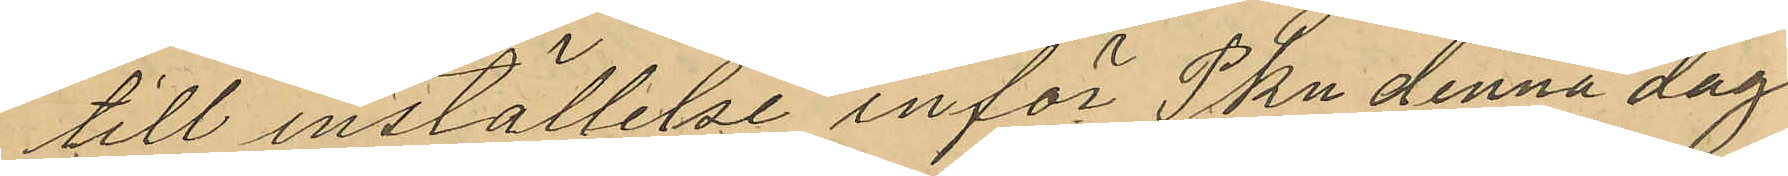till inställelse inför Pkn denna dag.
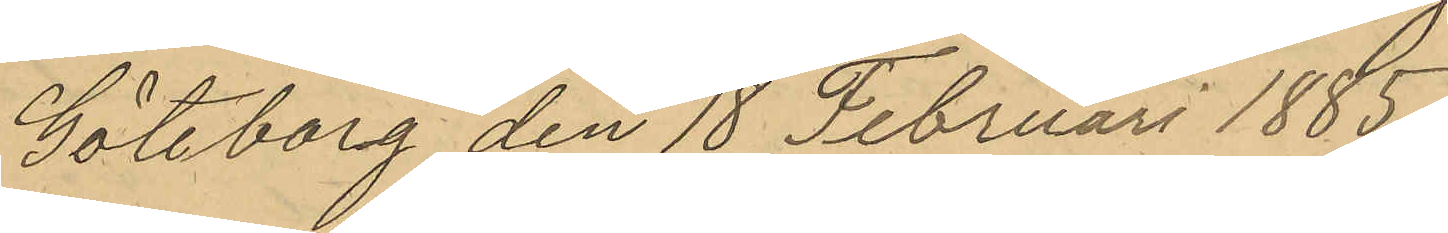Göteborg den 18 Februari 1885.
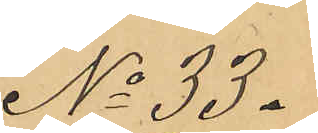No 33.
